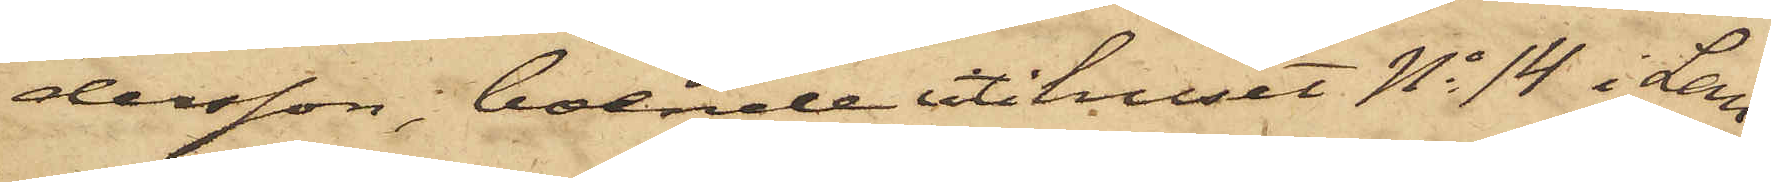dersson, boende uti huset No 14 i Lan¬
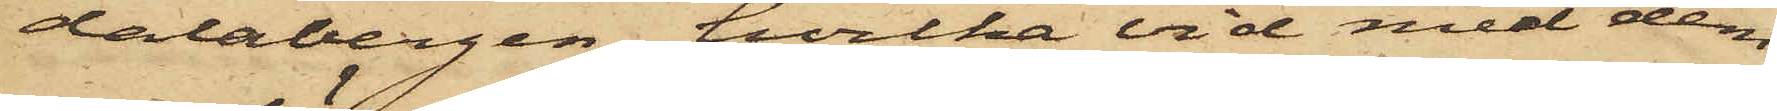dalabergen, hvilka vid med dem
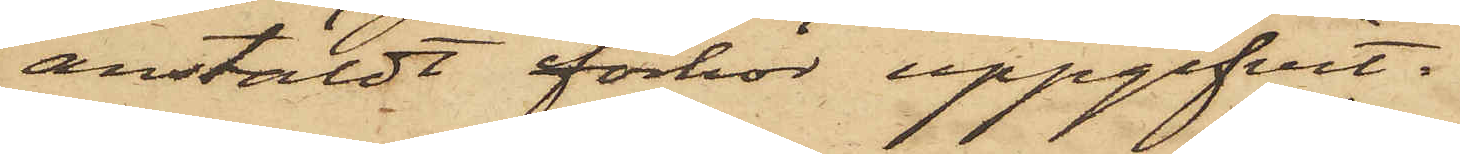anstäldt förhör uppgifvit.
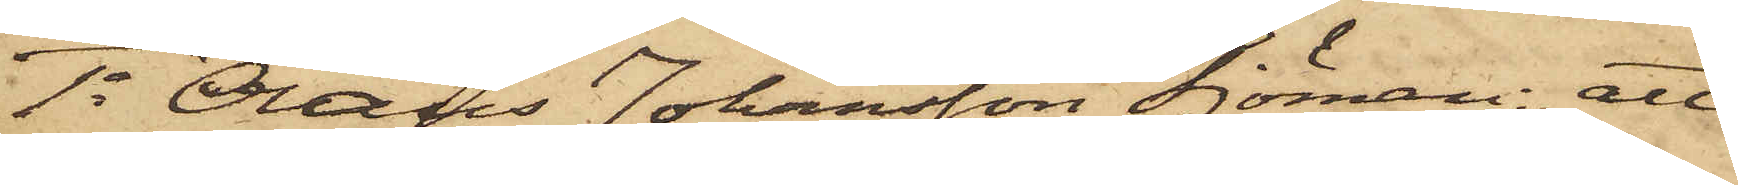1o Olaus Johansson Sjöman: att
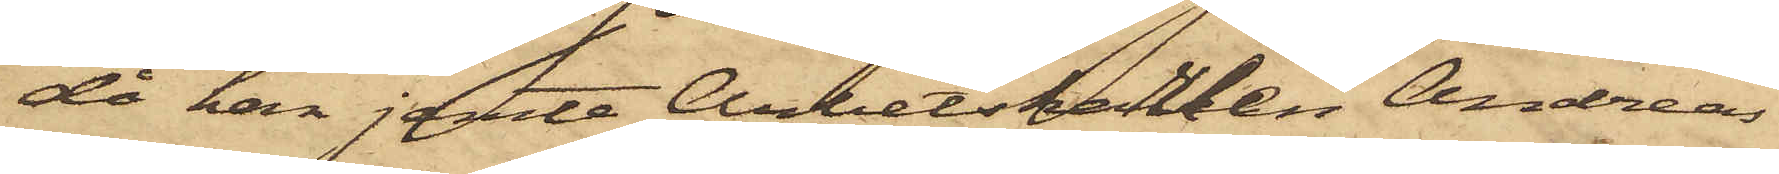då han jemte Arbetskarlen Andreas
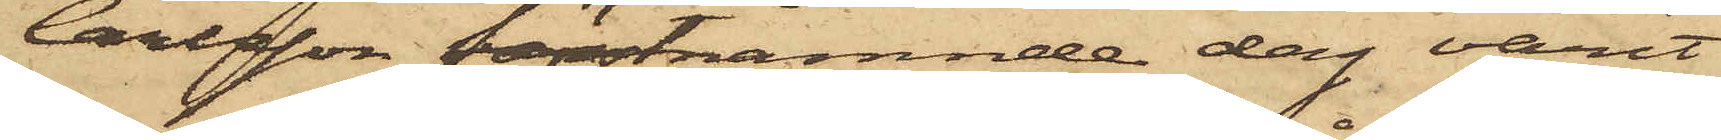Carlsson förstnämnde dag varit
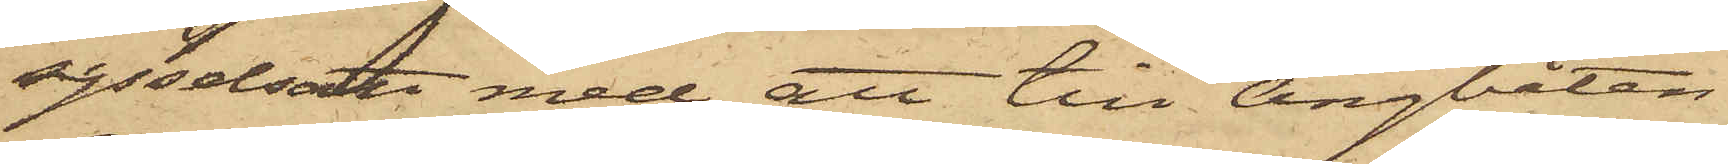sysselsatte med att till ångbåten
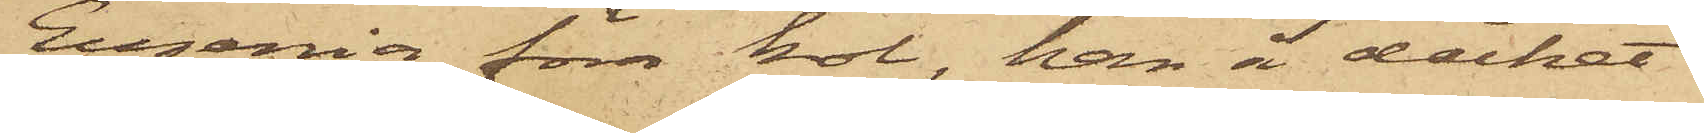Eugenia föra kol, han å däcket
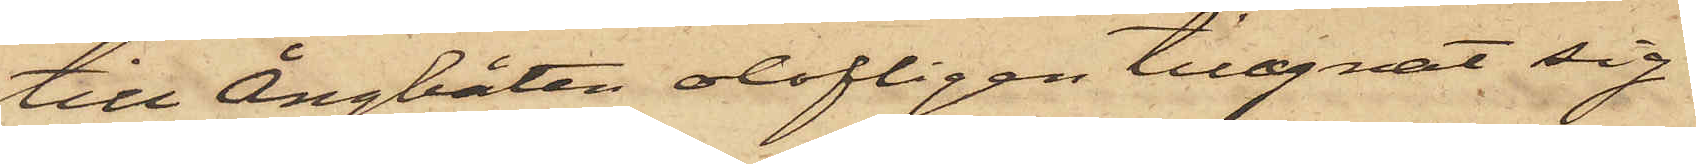till Ångbåten olofligen tillegnat sig
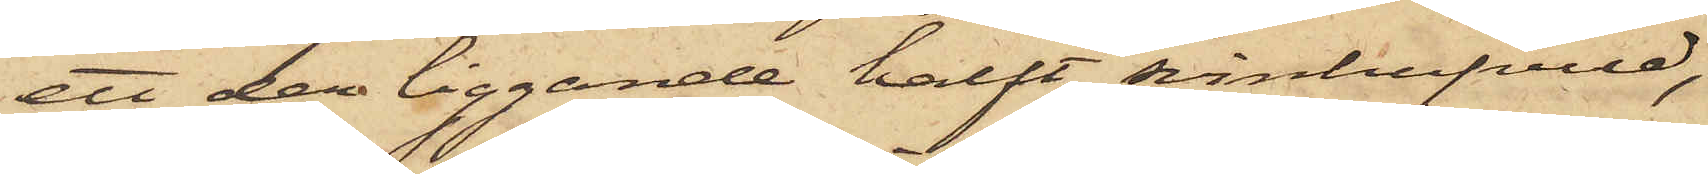ett der liggande halft svinhufvud,
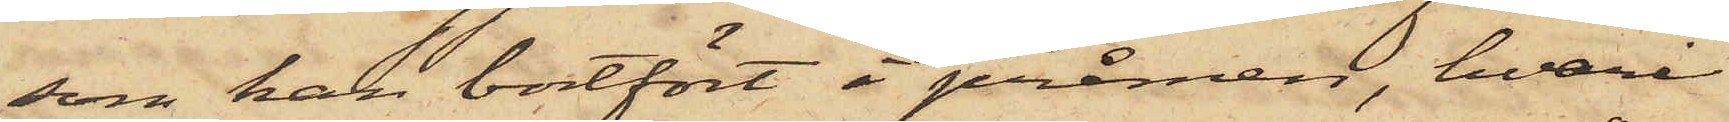som han bortfört i pråmen, hvari
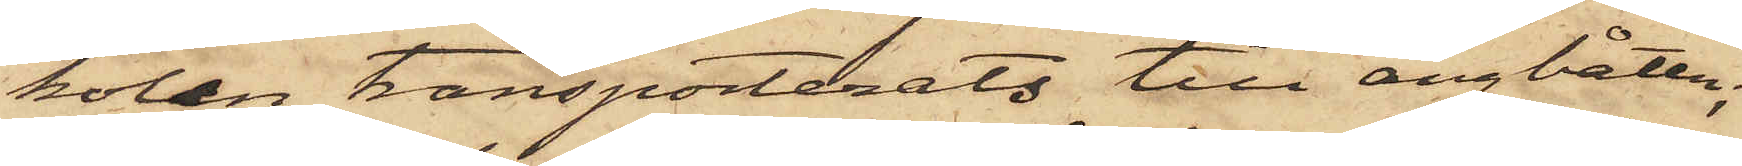kolen transporterats till ångbåten;
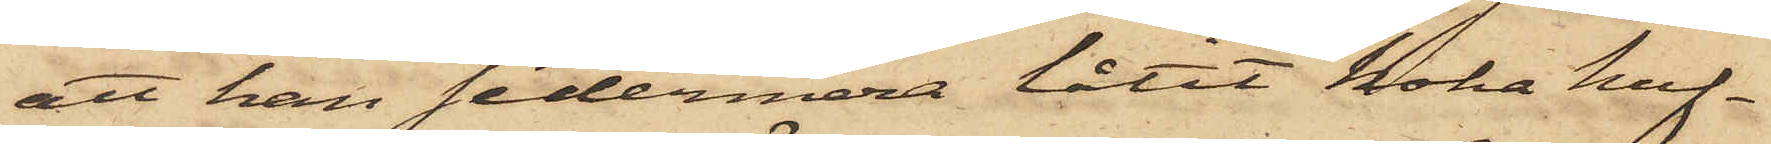att han sedermera låtit koka huf¬
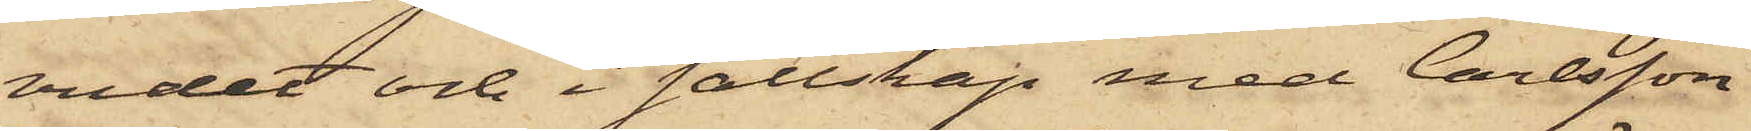vudet och i sällskap med Carlsson
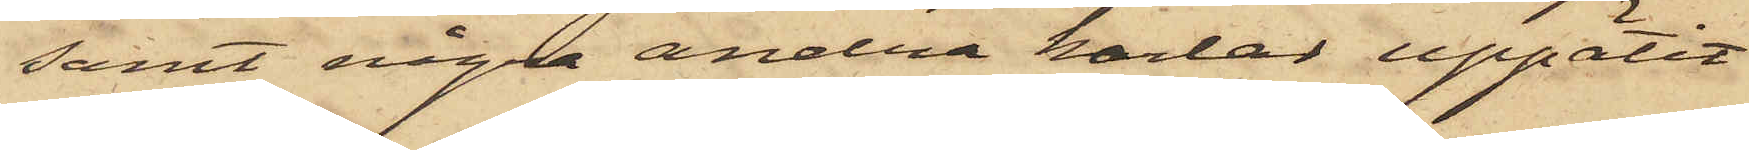samt några andra karlar uppätit
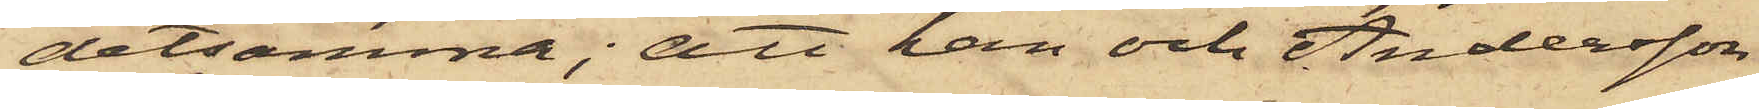detsamma; att han och Andersson
